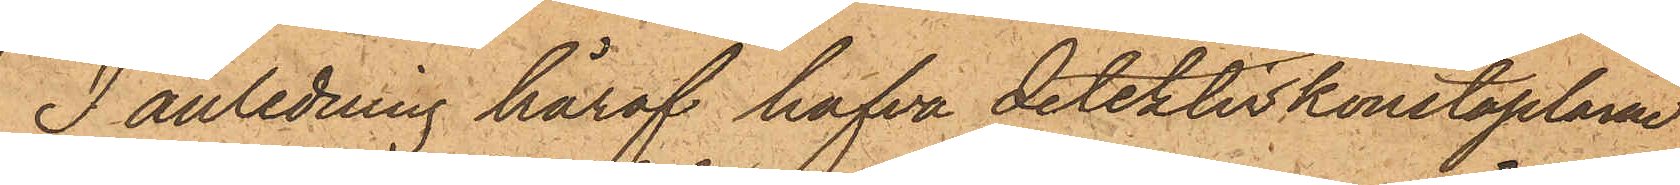I anledning häraf hafva detektivkonstaplarne
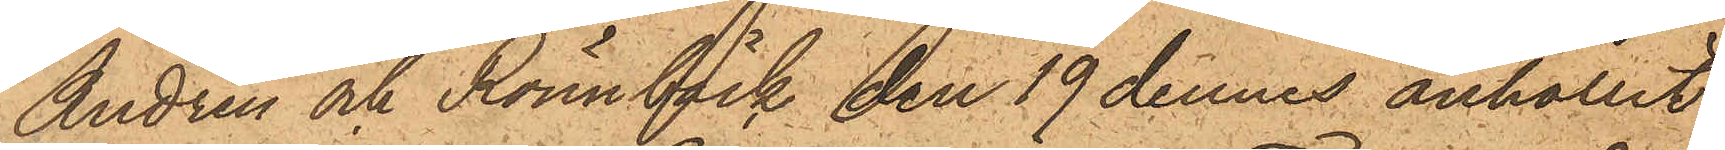Andrén och Rönnbäck den 19 dennes anhållit
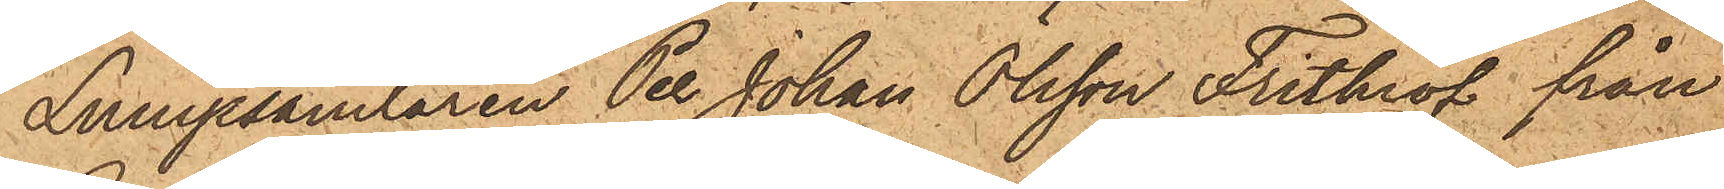Lumpsamlaren Per Johan Olsson Frithiof från
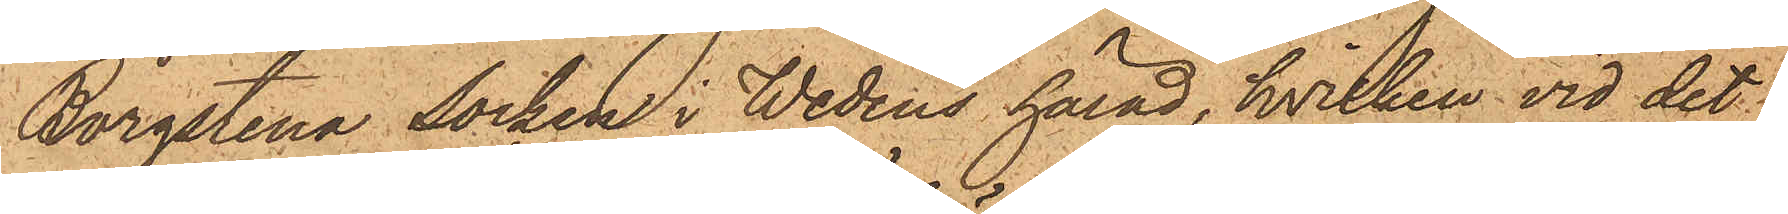Borgstena Socken i Wedens härad, hvilken vid det
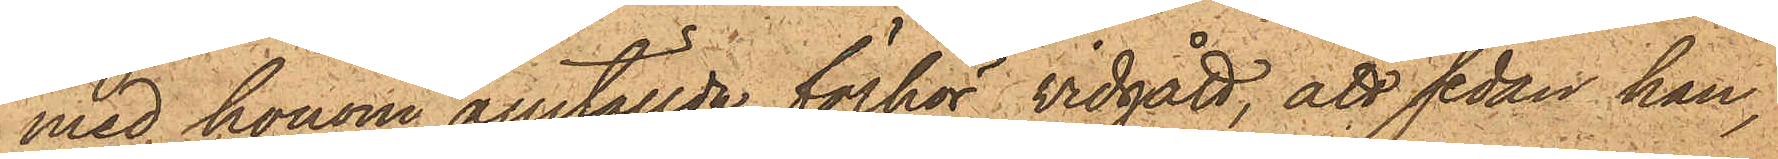med honom anställda förhör vidgått, att sedan han,
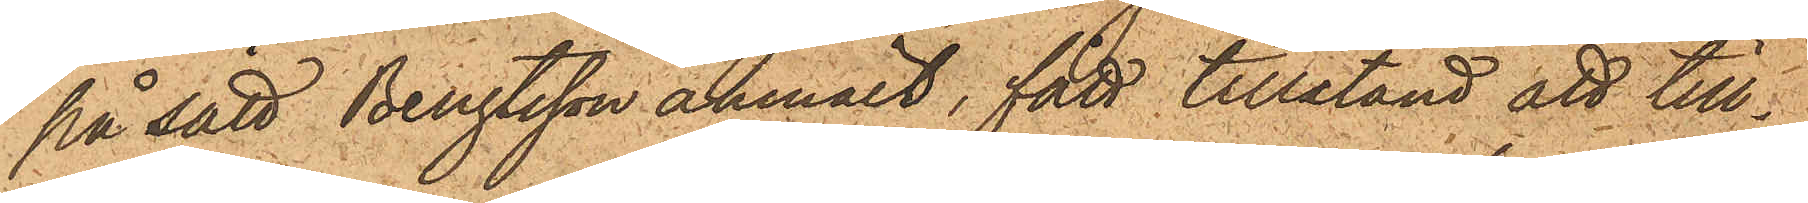på sätt Bengtsson anmält, fått tillstånd att till¬
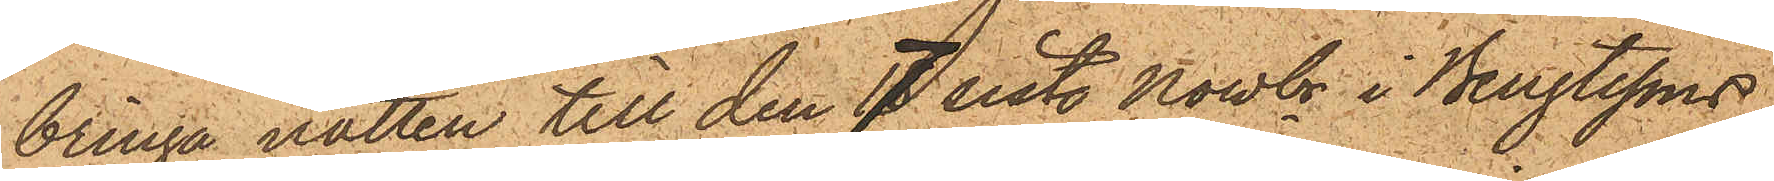bringa natten till den 7 sist. Novbr i Bengtssons
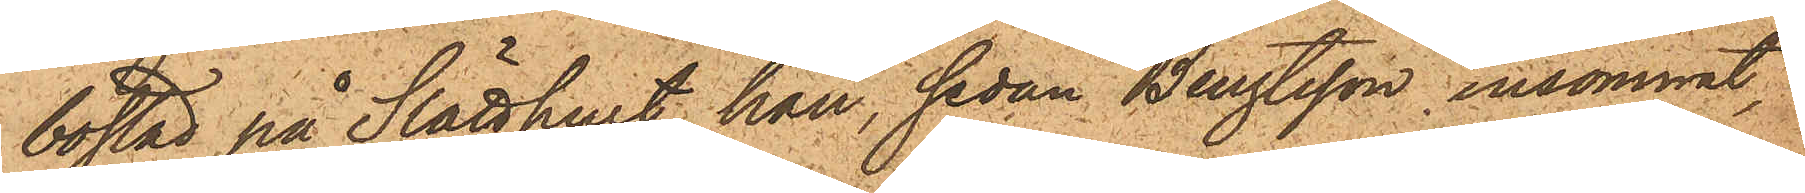bostad på Slätthult, han, sedan Bengtsson insommat,
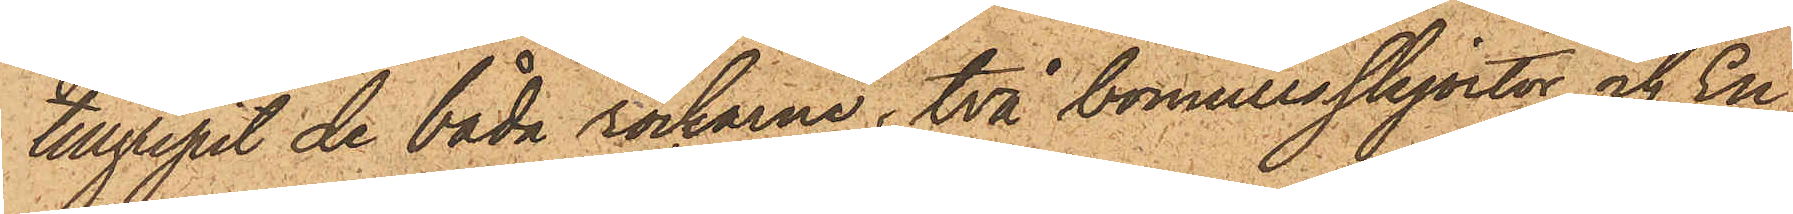tillgripit de båda rockarne, två bomullsskjortor och En
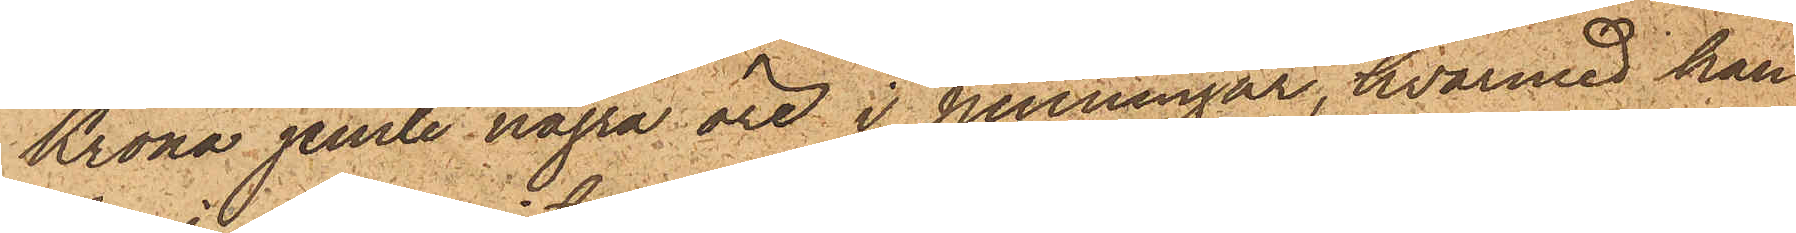Krona jemte några öre i penningar, hvarmed han
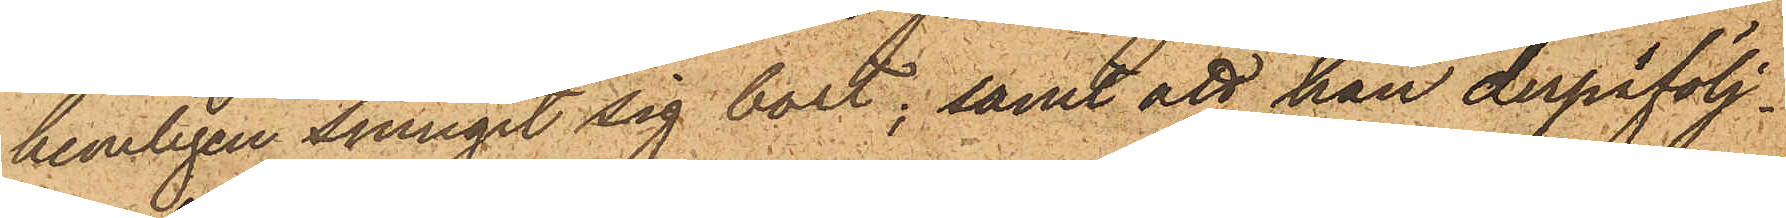hemligen smugit sig bort; samt att han derpåfölj¬
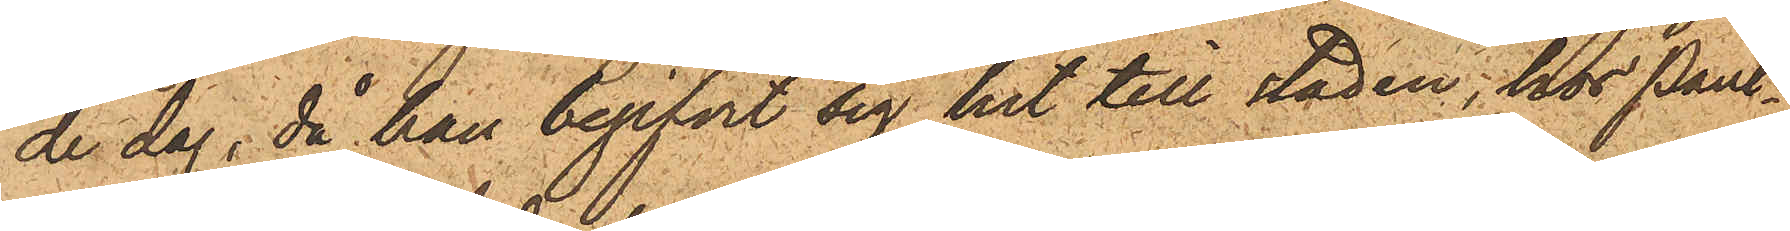de dag, då han begifvit sig hit till staden, hos Pant¬
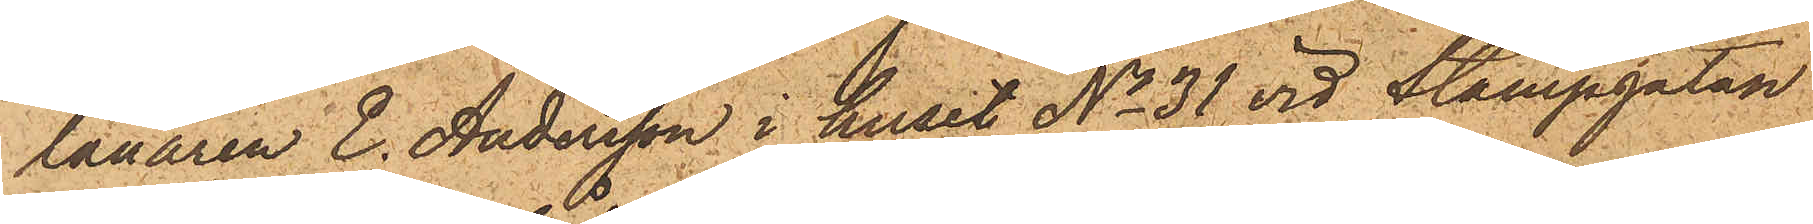lånaren E. Andersson i huset No 31 vid Stampgatan
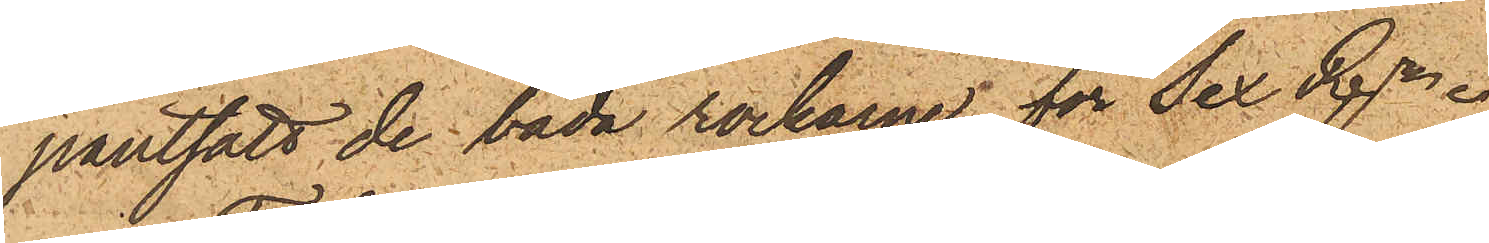pantsatt de båda rockarne för Sex Rdr.
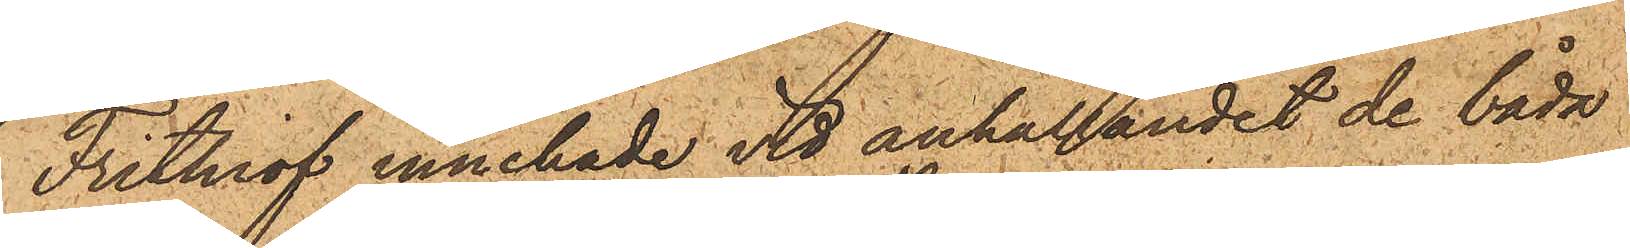Frithiof innehade vid anhållandet de båda
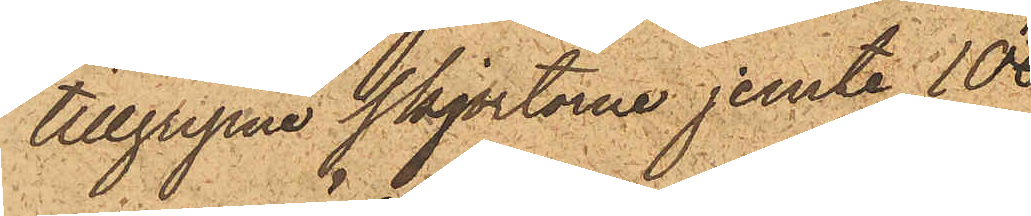tillgripna skjortorna jemte 10
